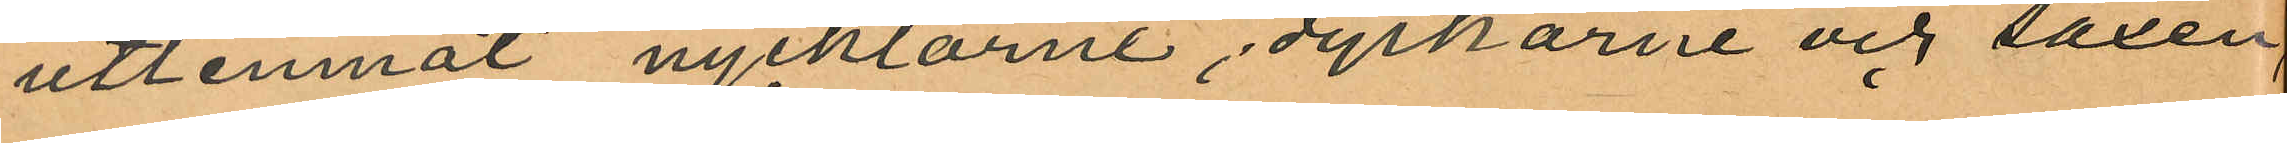utlemnat nycklarne, dyrkarne och saxen,
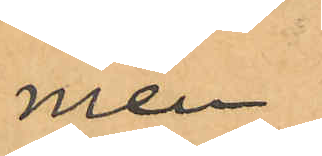men
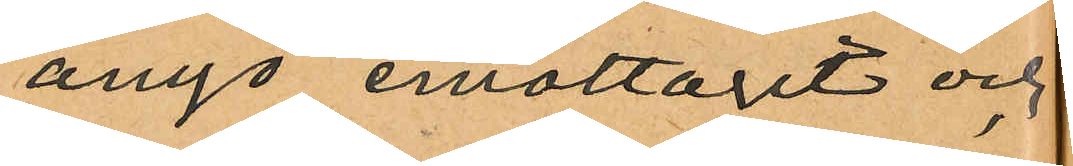ånyo emottagit och
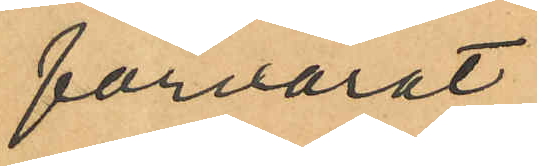förvarat
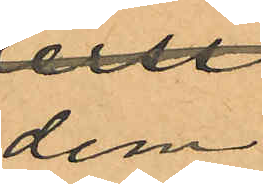dem
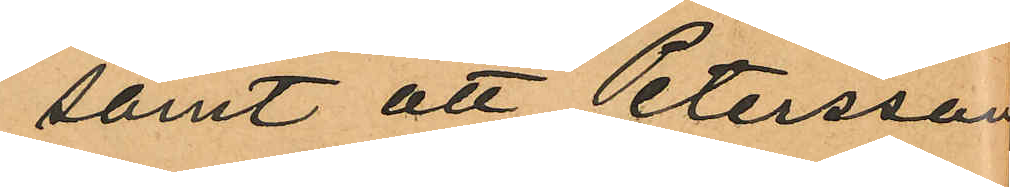samt att Petersson
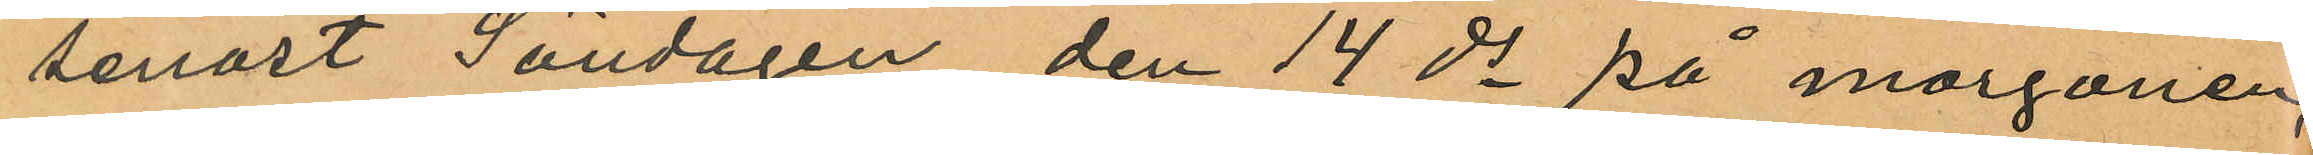senast Söndagen den 14 ds på morgonen,
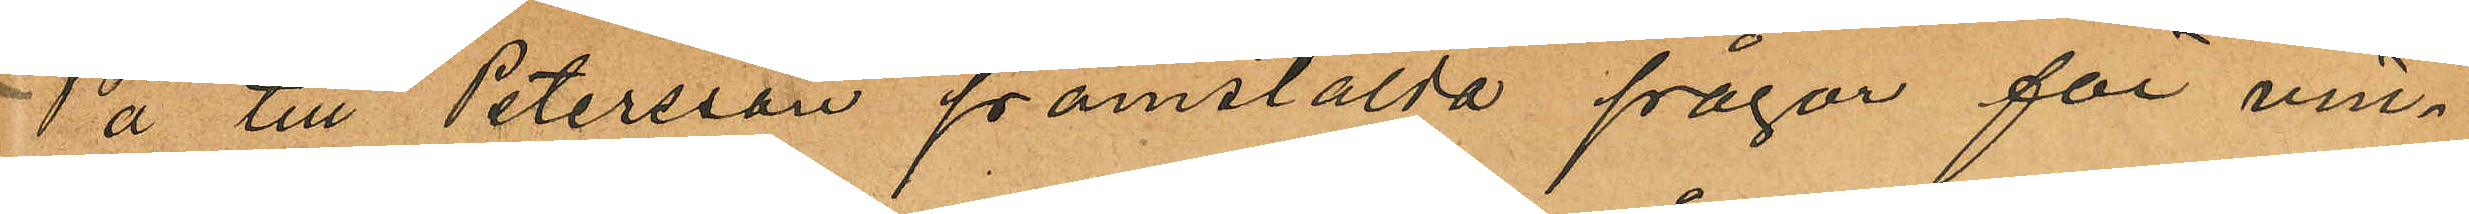På till Petersson framstälda frågar för vin¬
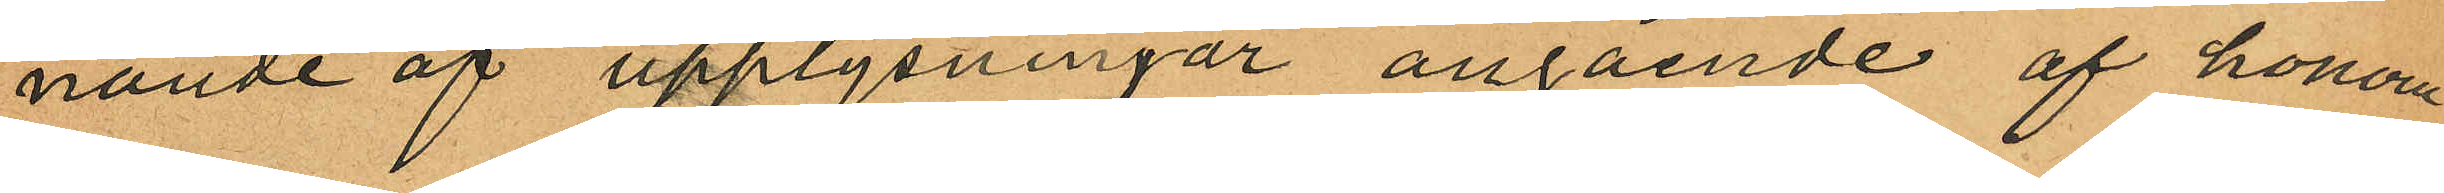nande af upplysningar angående af honom
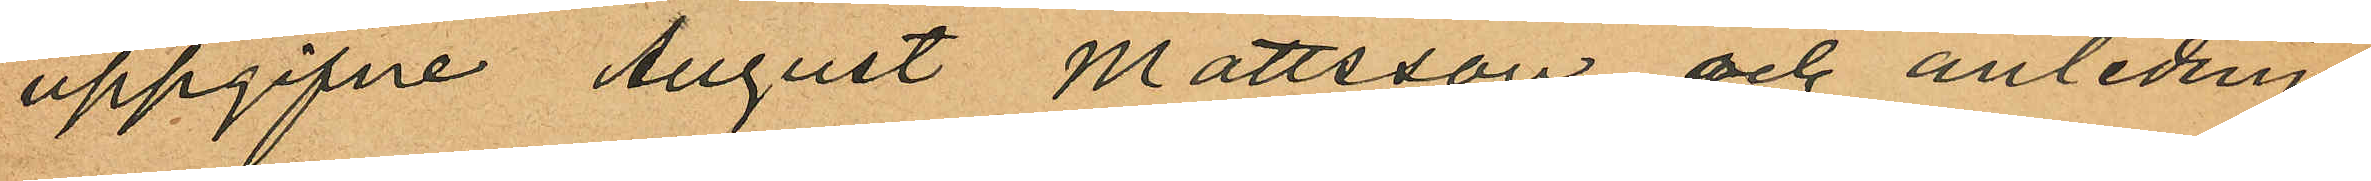uppgifne August Mattsson och anlednin¬
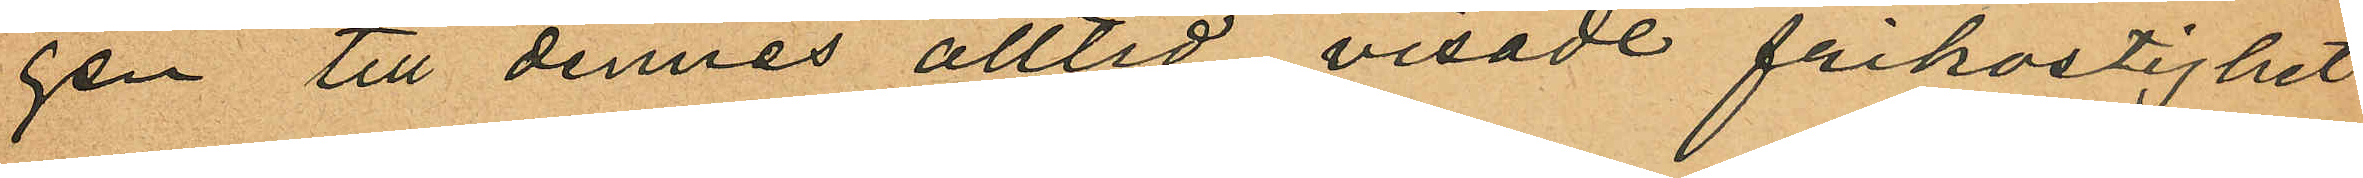gen till dennes alltid visade frikostighet
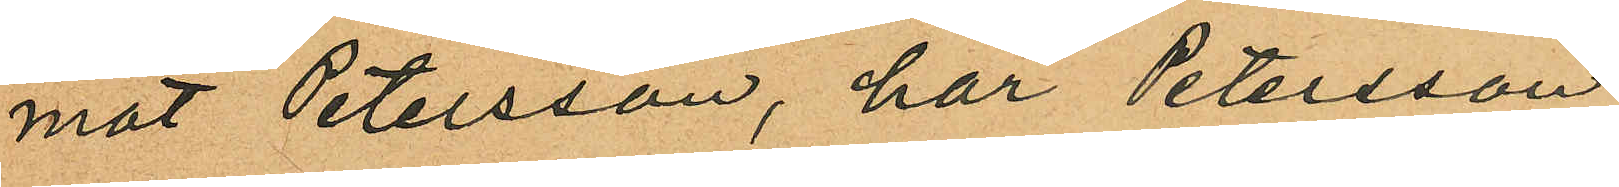mot Petersson, har Petersson
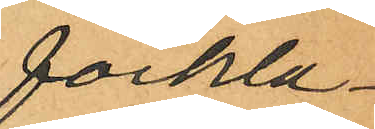förkla¬
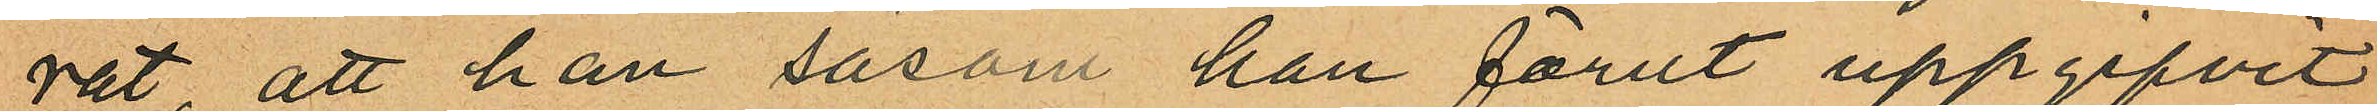rat, att han såsom han förut uppgifvit
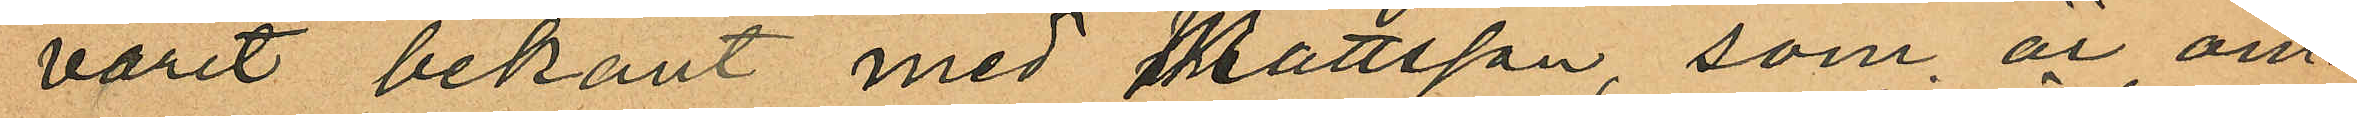varit bekant med Mattsson, som är om¬
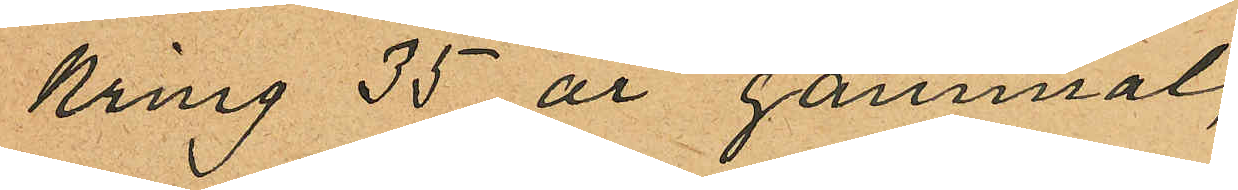kring 35 år gammal,
